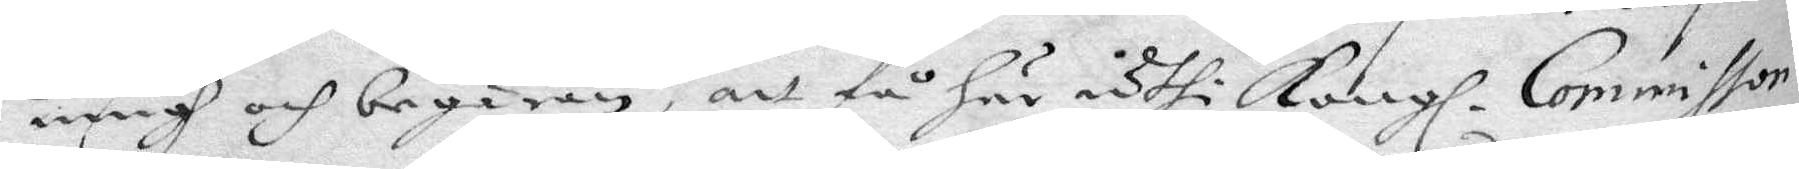ningh och begäran, att få här uthi Kongl. Commissor¬
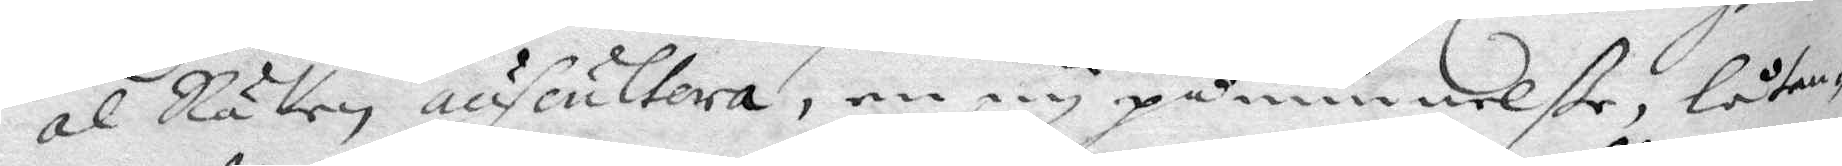al Rätten anscultera, en ey påminnelße, låtan¬
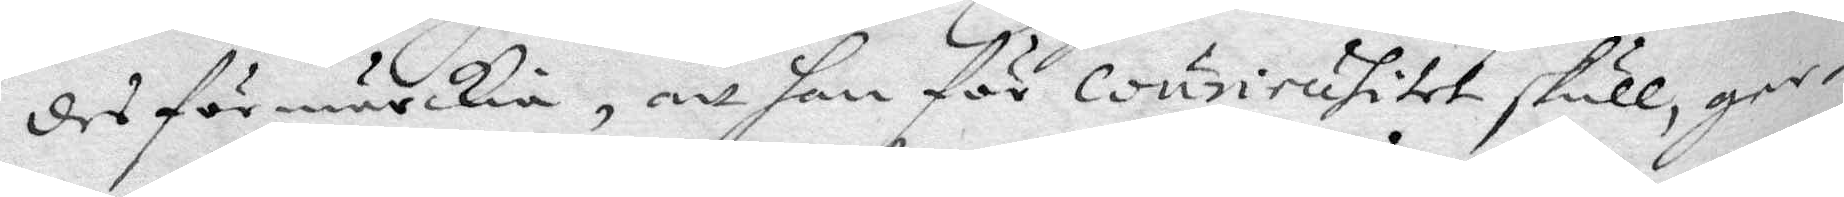des förmärckia, att han för courisitet skull, ger¬
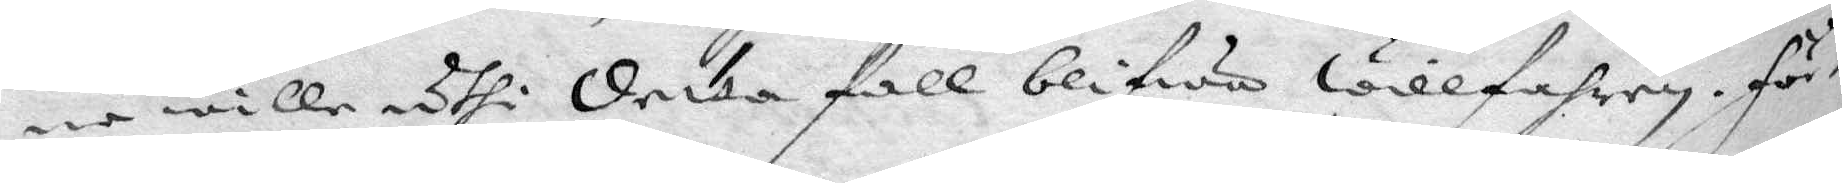ne wille uthi detta fall blifwa willfahren, för¬
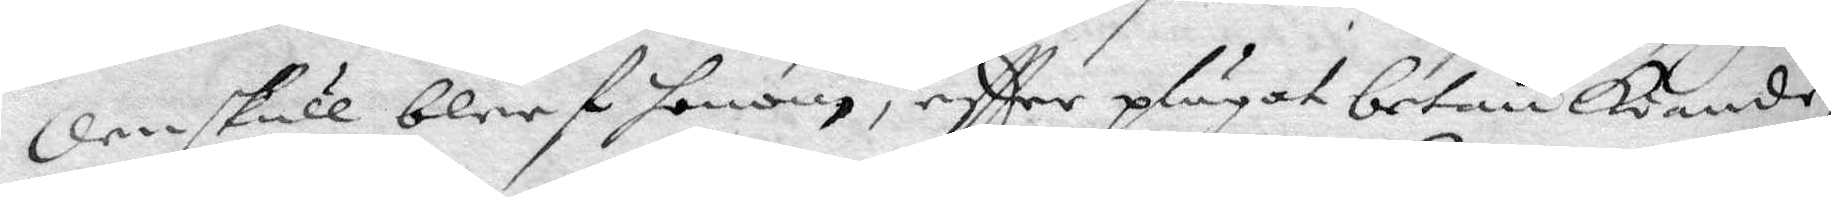den skull bleef honom, eftter plägat betänkiande,
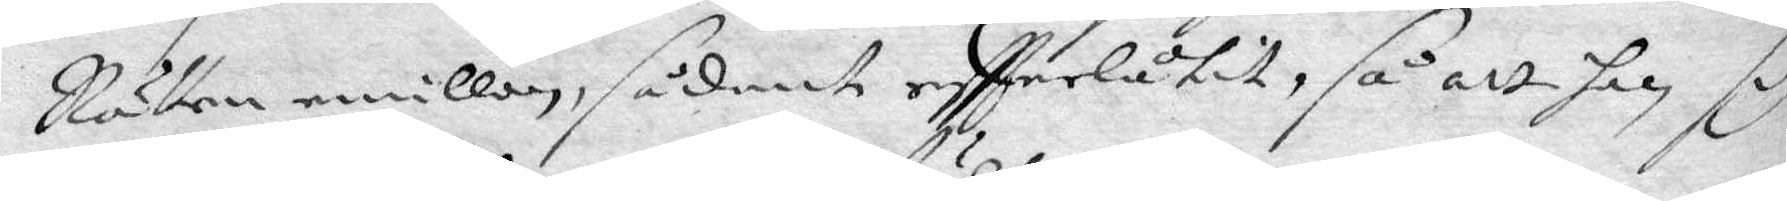Rätten emillan, sådant effterlåtit, så att han sig
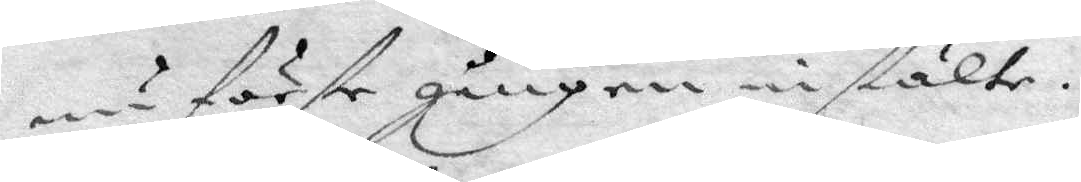nu förste gången instälte.
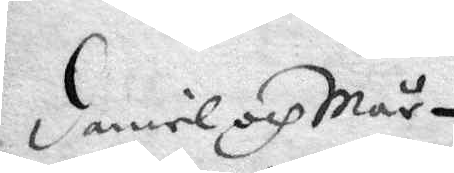daniel och Mår¬
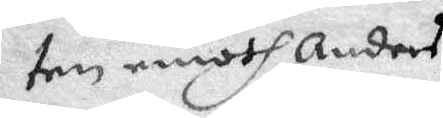ten emoth Anders
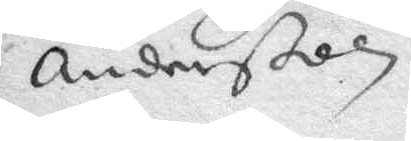Anderßon.
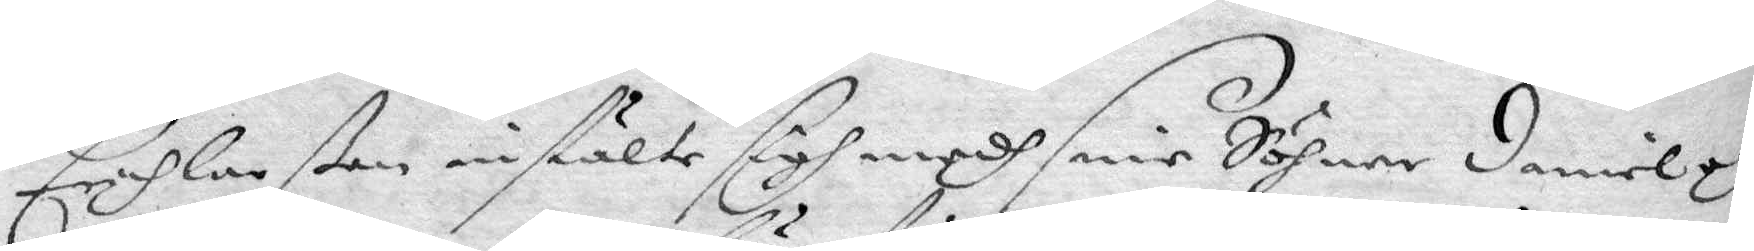Erich Larßon instälte sigh medh sine Söhner daniel och
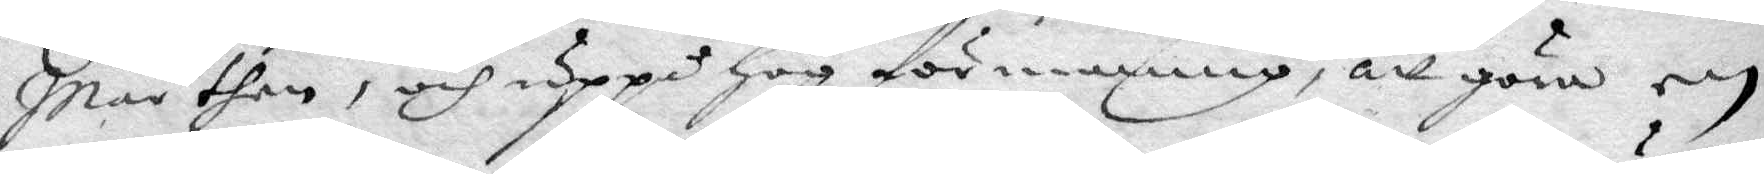Mårthen, och uppå hög förmaning, att göra een
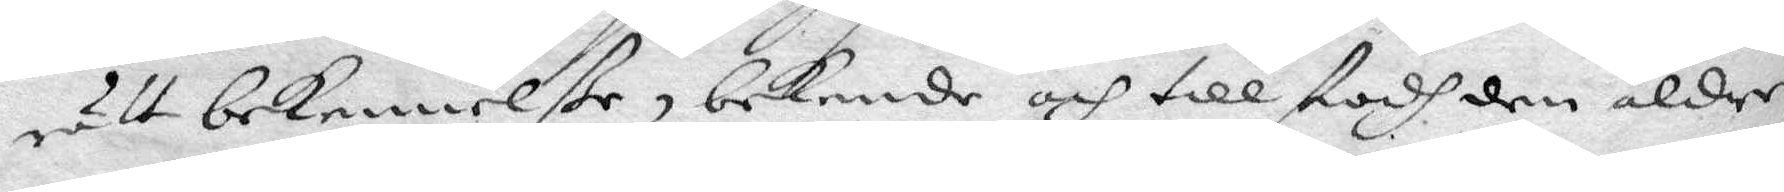rätt bekennelße, bekende och tillstodh den äldre
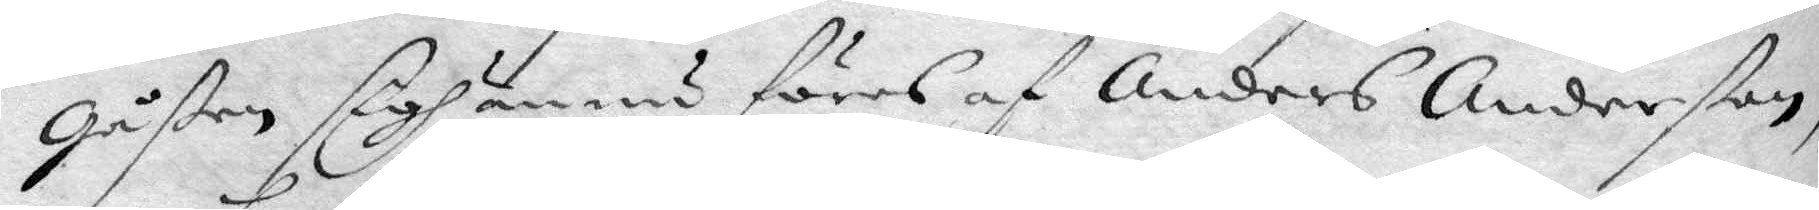gåßen sigh ännu föres af Anders Anderßon,
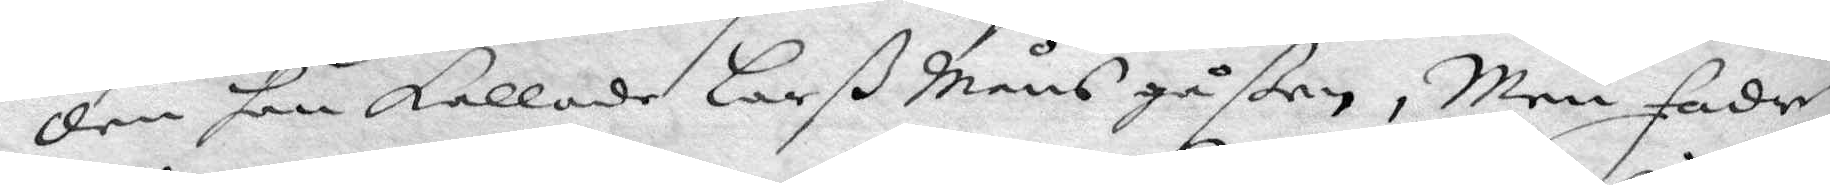den han kallade Larß Måns gåßen, Men fadern
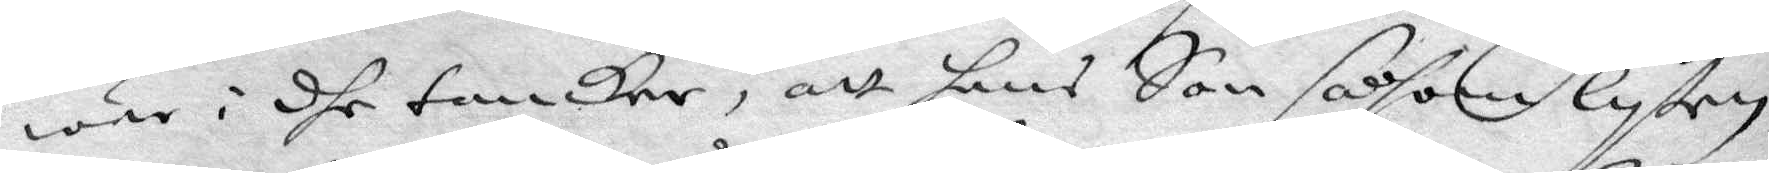war i dhe tankar, att hans Son såsom lyten
